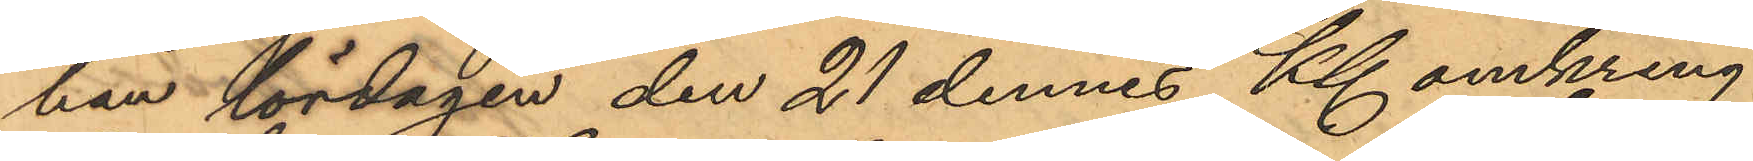han lördagen den 21 dennes Kl. omkring
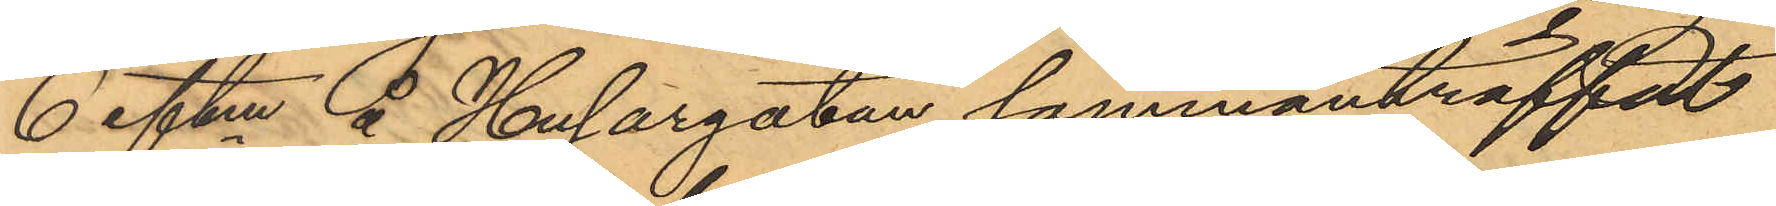6 eftm å Husargatan sammanträffat
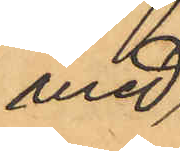med
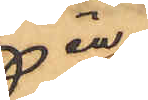en
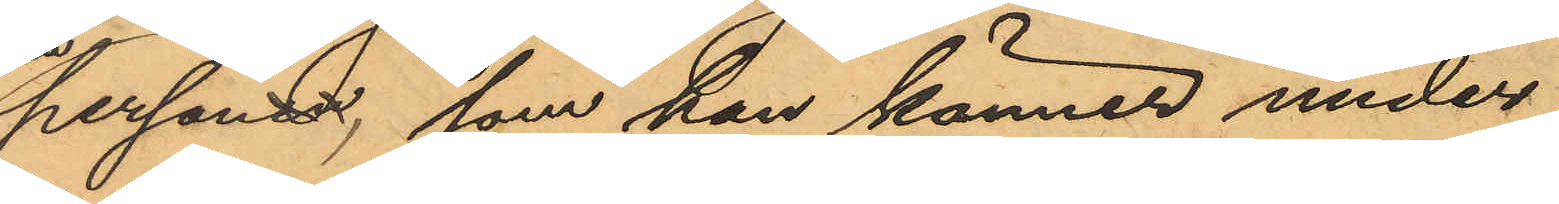person, som han känner under
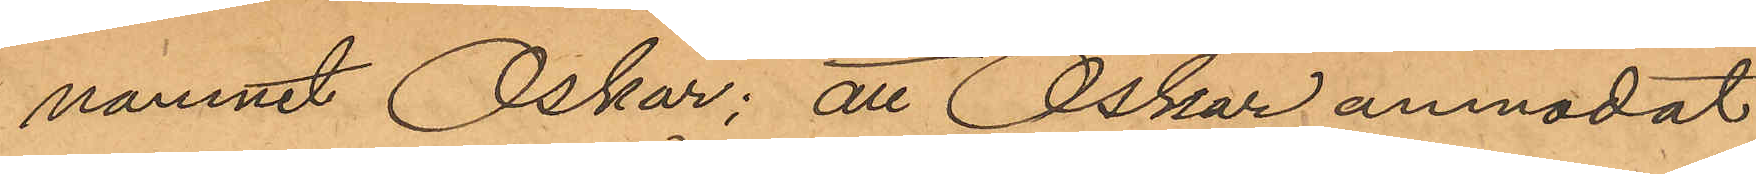namnet Oskar; att Oskar anmodat
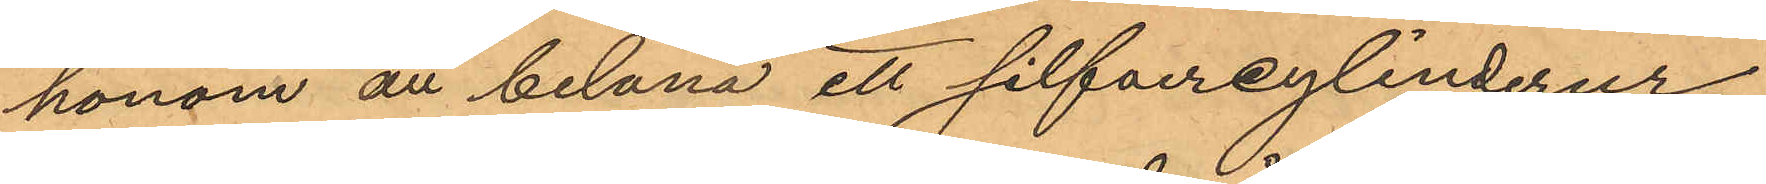honom att belåna ett silfvercylinderur,
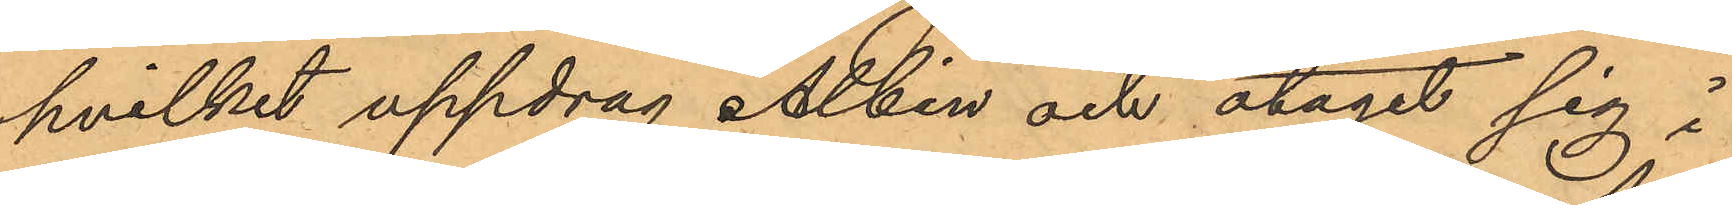hvilket uppdrag Albin och åtagit sig i
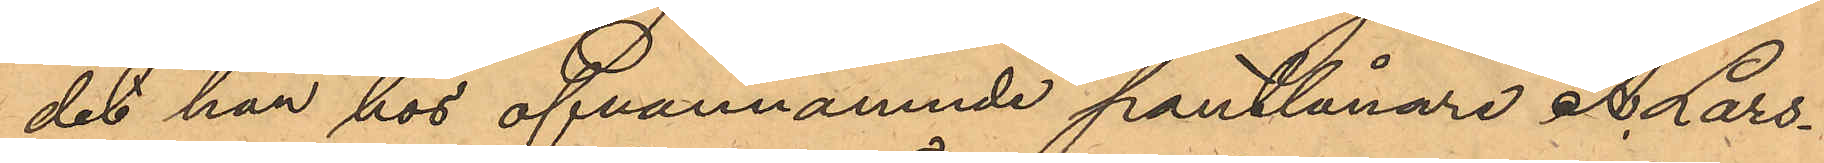det han hos ofvannämnde pantlånare A. Lars¬
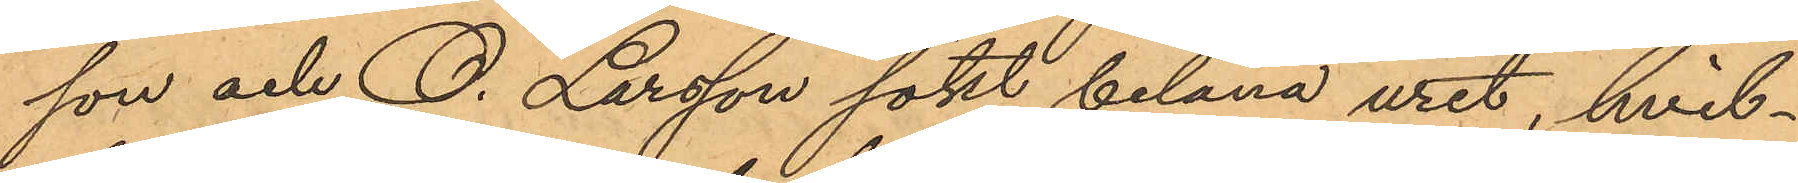son och O. Larsson sökt belåna uret, hvil¬
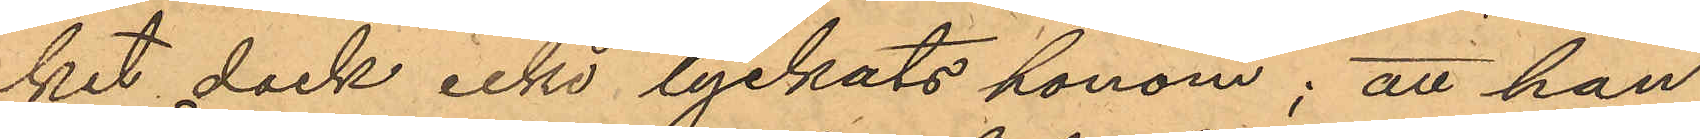ket dock icke lyckats honom; att han,
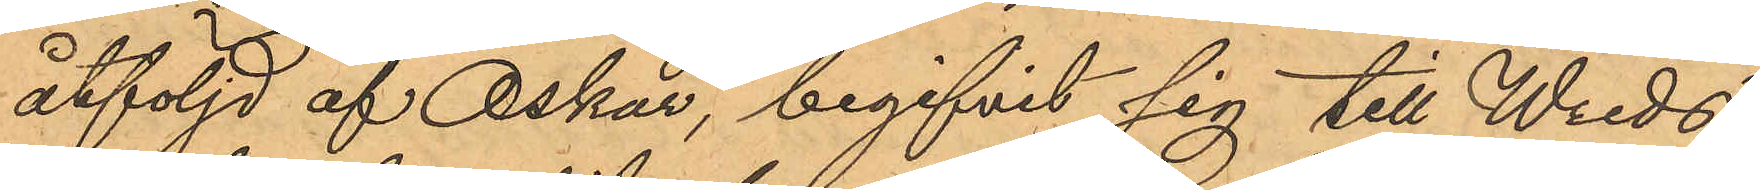åtföljd af Oskar, begifvit sig till Wreds
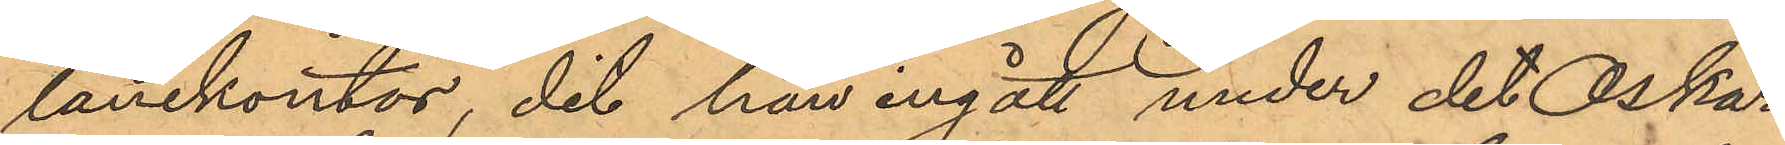lånekontor, dit han ingått under det Oskar
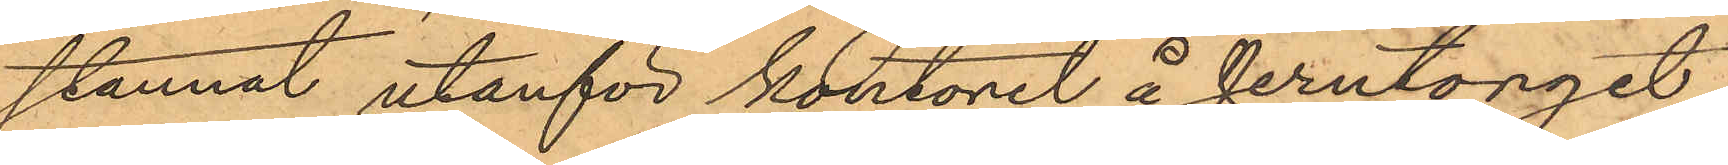stannat utanför kontoret å Jerntorget,
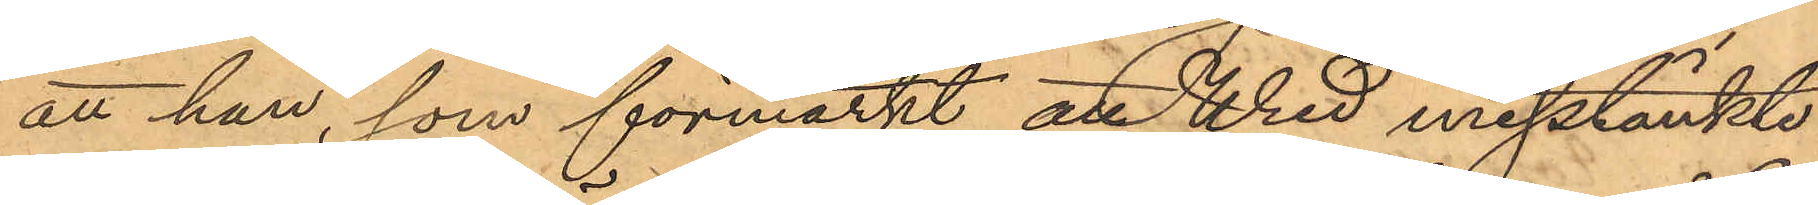att han, som förmärkt att Wred misstänkte
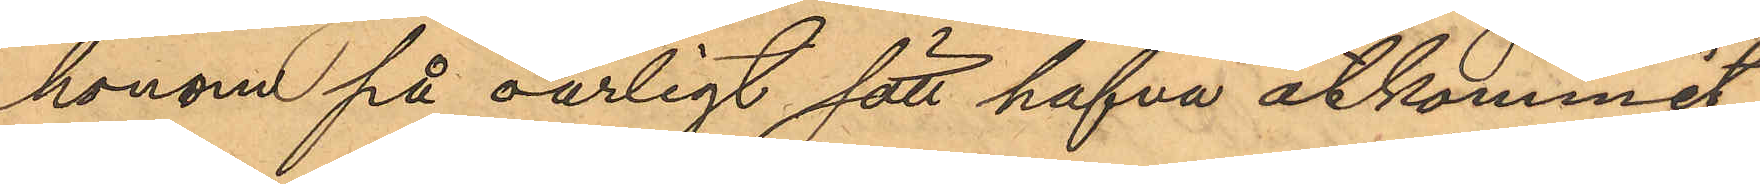honom på oärligt sätt hafva åtkommit
